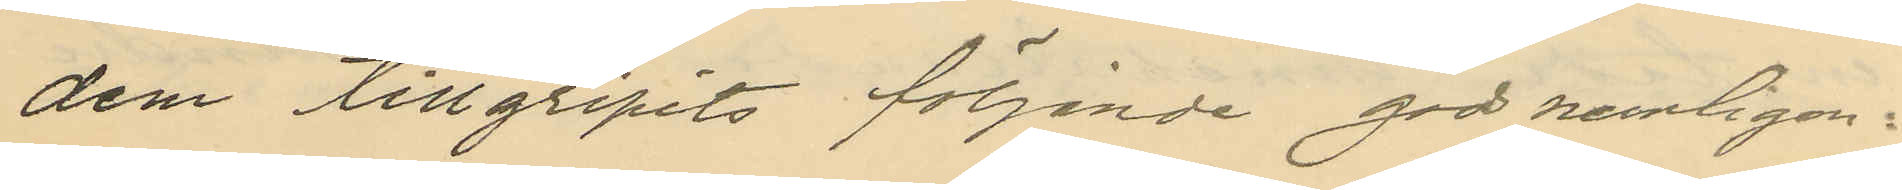dem tillgripits följande gods nemligen:
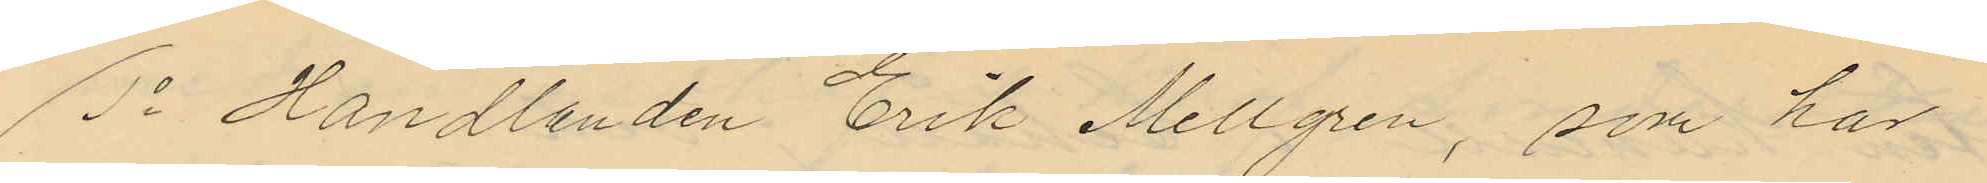1o Handlanden Erik Mellgren, som har
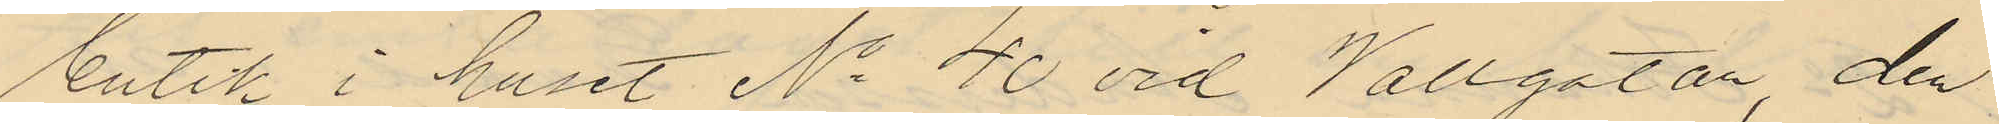butik i huset No 40 vid Vallgatan, den
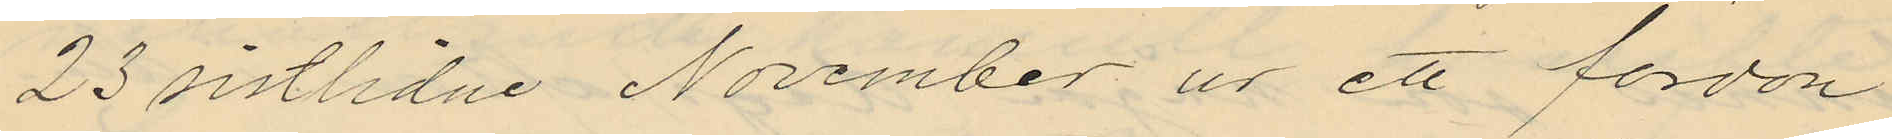23 sistlidne November ur ett fordon
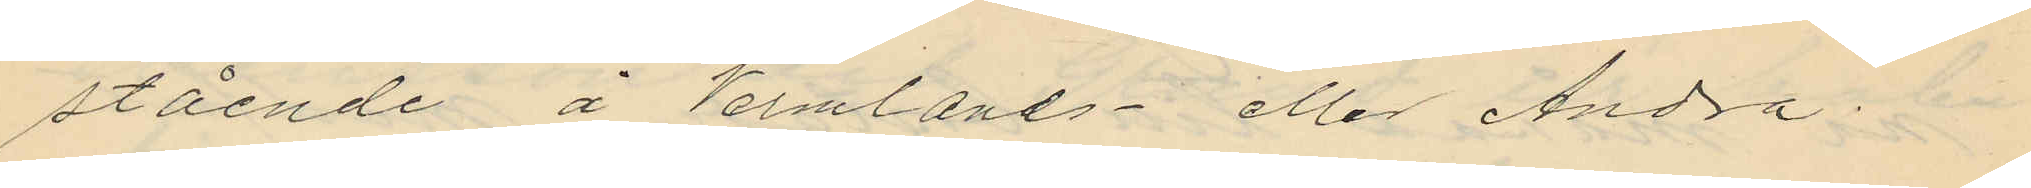stående å Vermlands- eller Andra
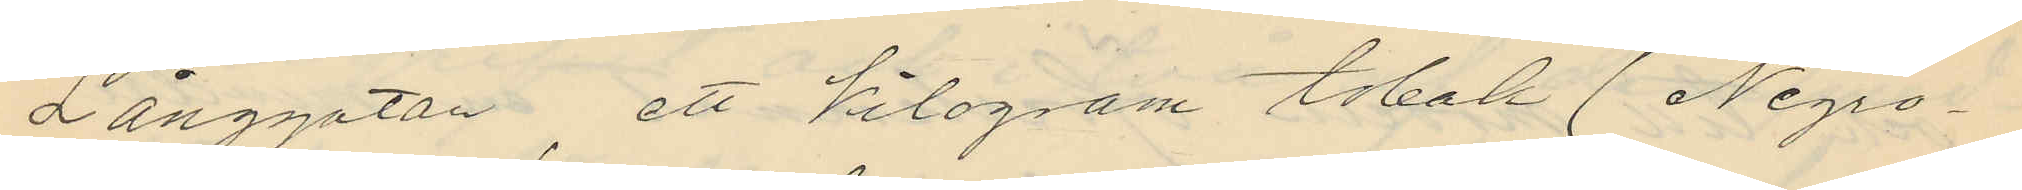Långgatan, ett kilogram tobak (Negro
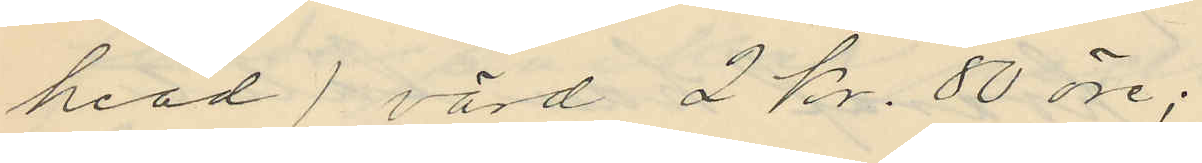head) värd 2 Kr. 80 öre;
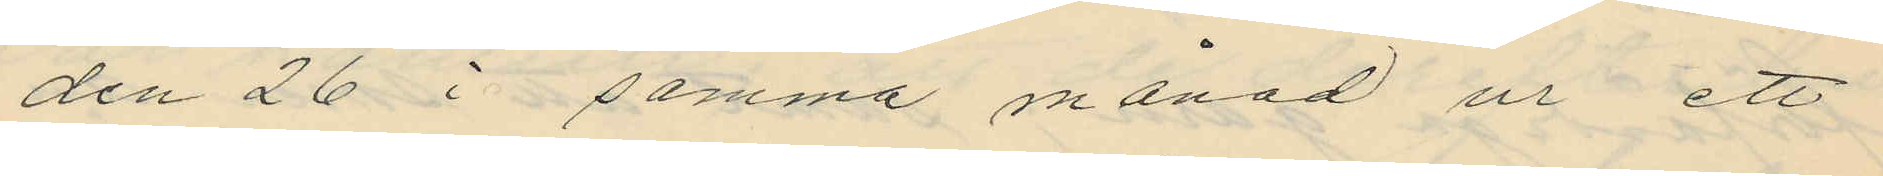den 26 i samma månad ur ett
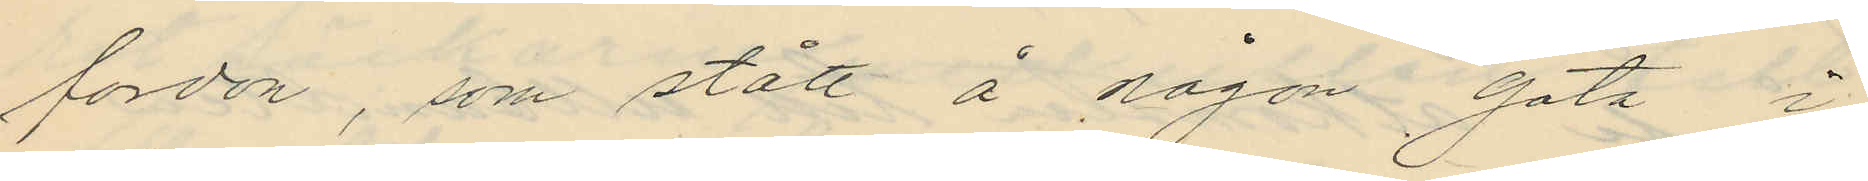fordon, som stått å någon gata i
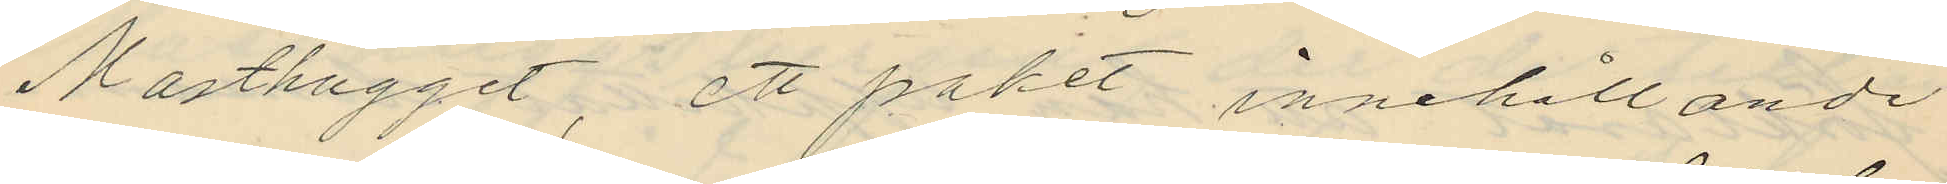Masthugget, ett paket innehållande
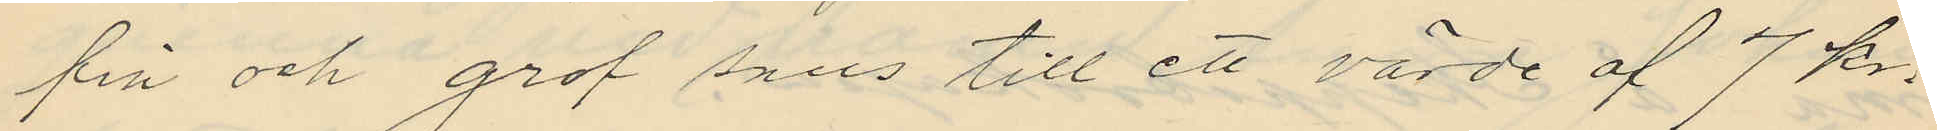fin och grof snus till ett värde af 7 kr.
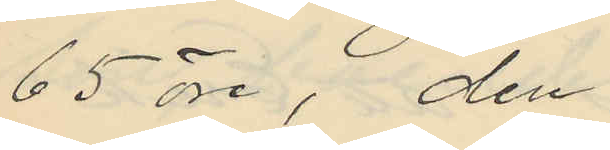65 öre, den
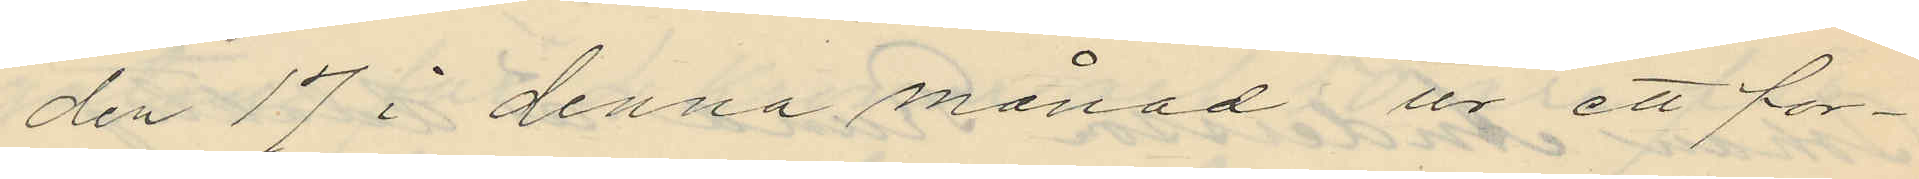den 17 i denna månad ur ett for¬
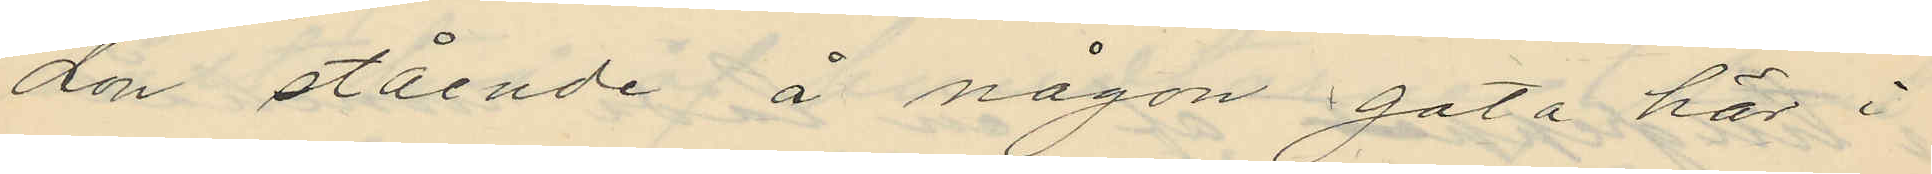don stående å någon gata här i
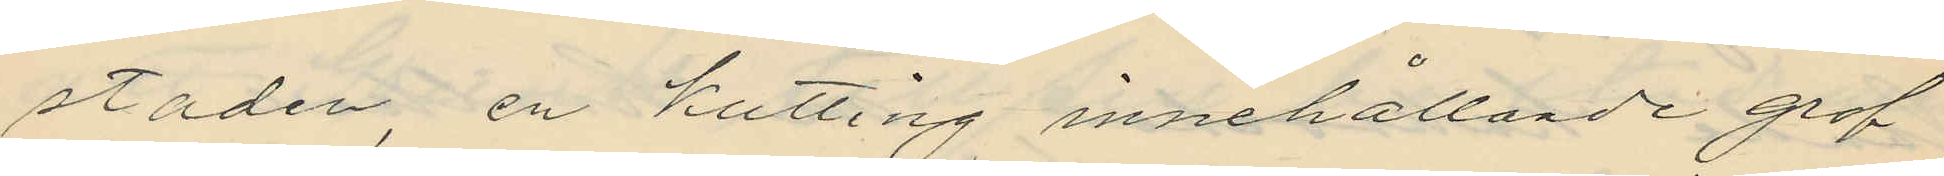staden, en kutting innehållande grof
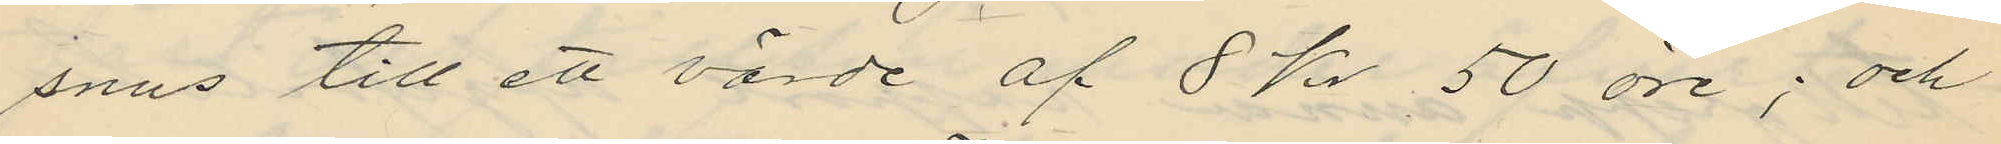snus till ett värde af 8 Kr 50 öre; och
